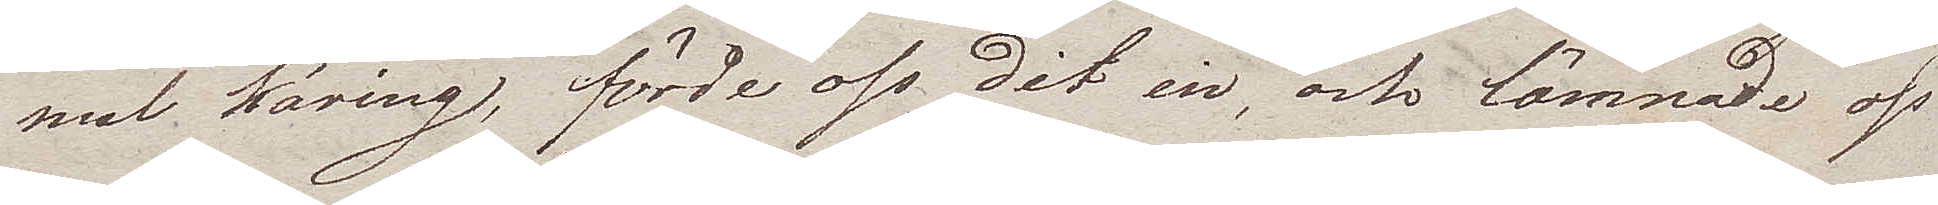mal käring, förde oss dit in, och lämnade oss
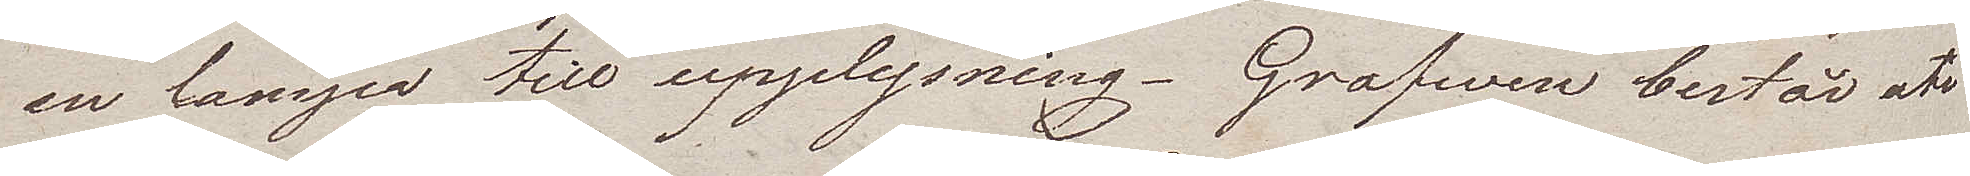en lampa till upplysning. Grafwen består att
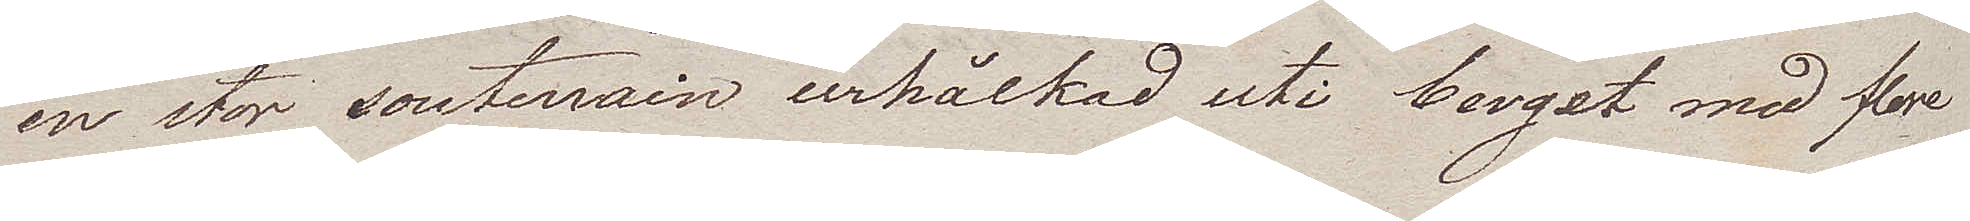en stor souterrain urhålkad uti berget med flere
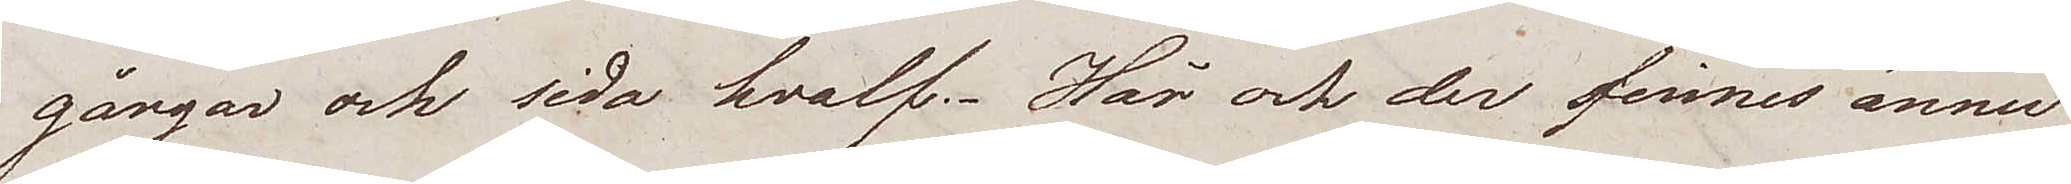gångar och sido hvalf. Här och der finnes ännu
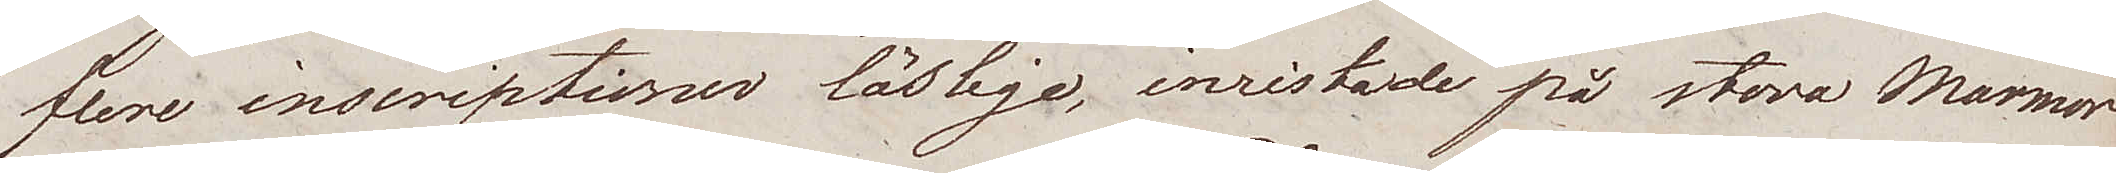flere inskriptioner läslige, inristade på stora Marmor¬
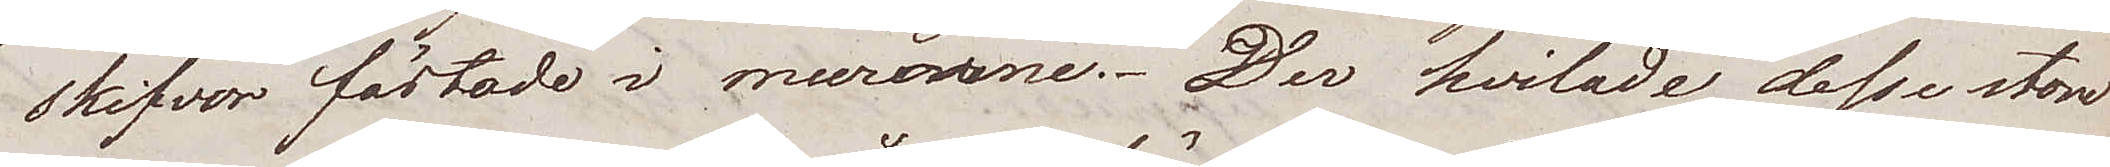skifvor fästade i murarne. Der hvilade desse stor¬
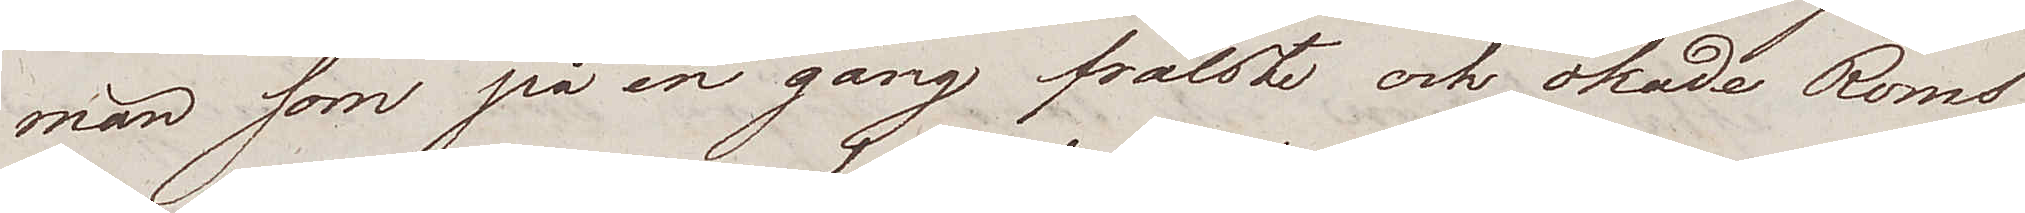män som på en gång frälste och ökade Roms
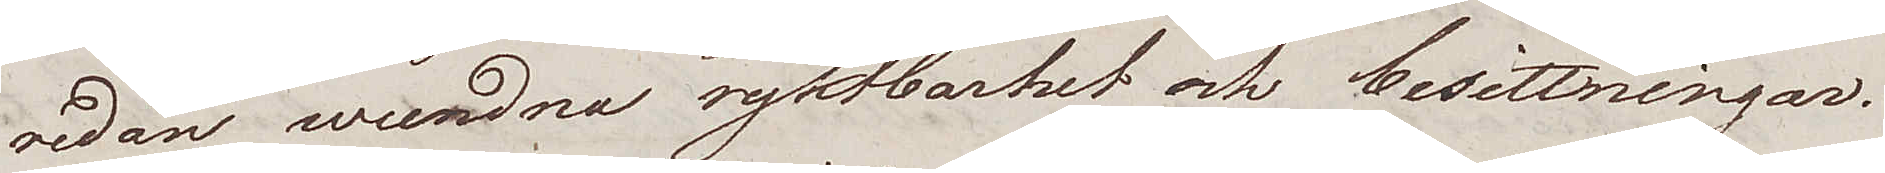redan wundna ryktbarhet och besittningar.
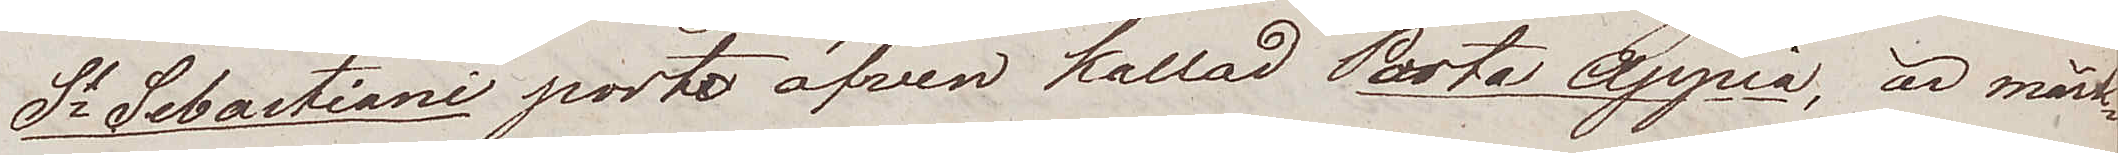St Sebastiani porto äfven kallad Porta Appia, är märk¬
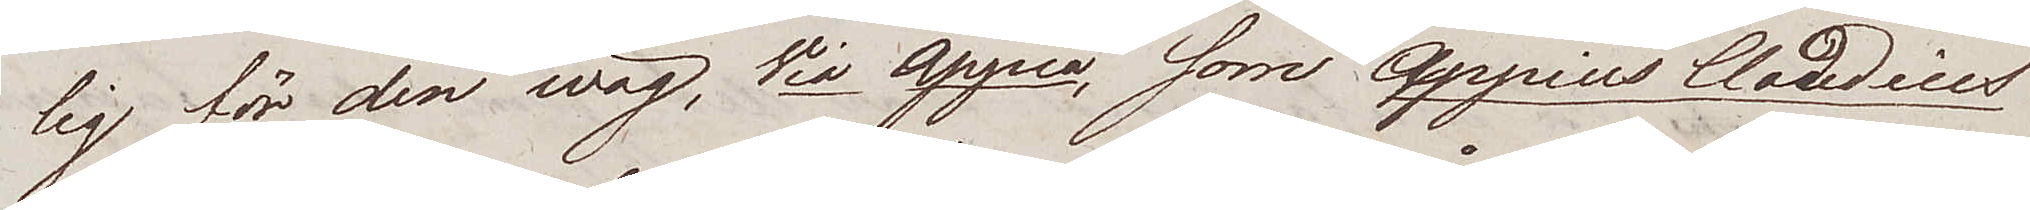lig för den wäg, Via Appia, som Appius Claudius
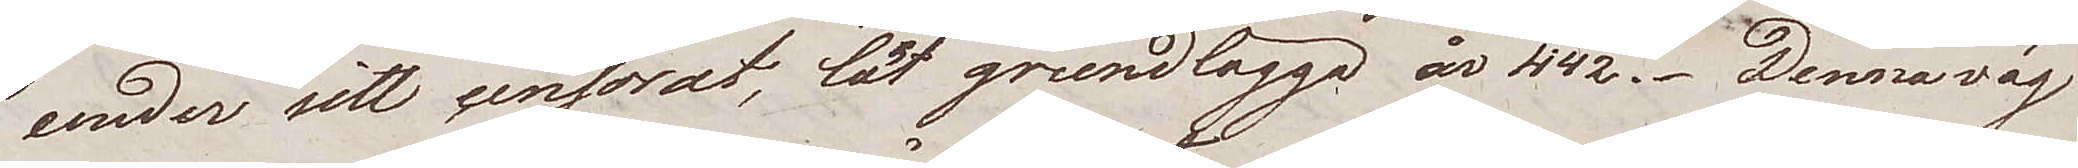under sitt censorat, lät grundlägga år 442. Denna väg
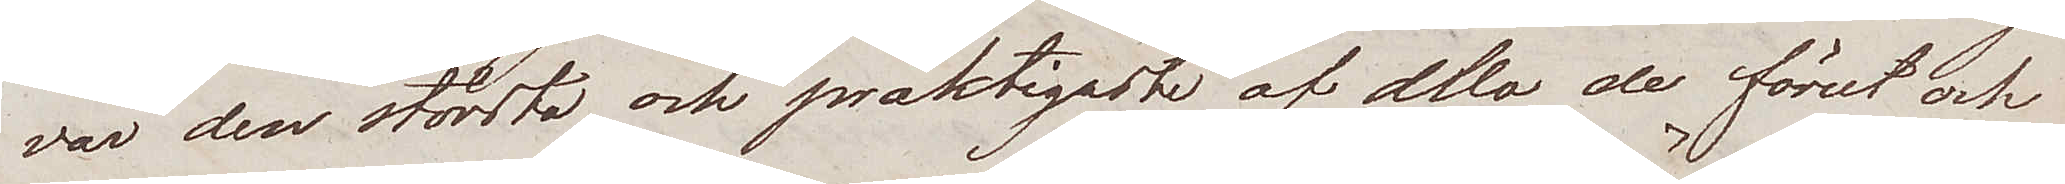var den största och präktigaste af alla de förut och
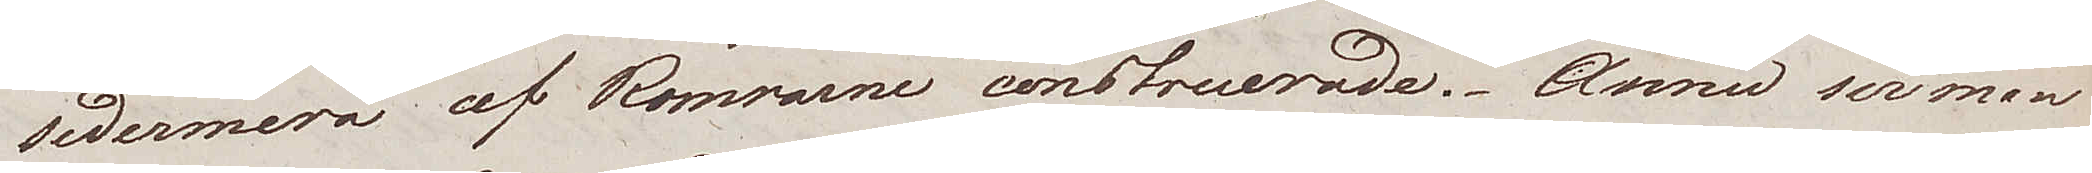sedermera av Romrarne construerade. Ännu ser man
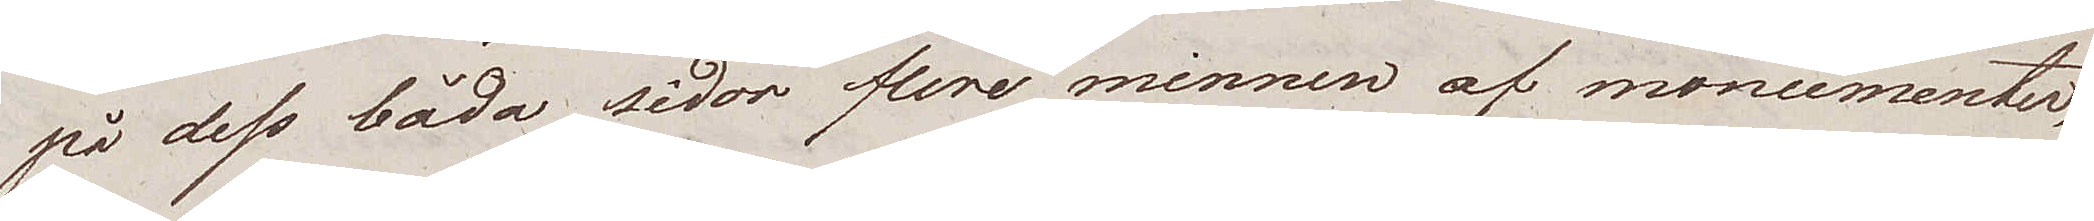på dess båda sidor flere minnen af monumenter,
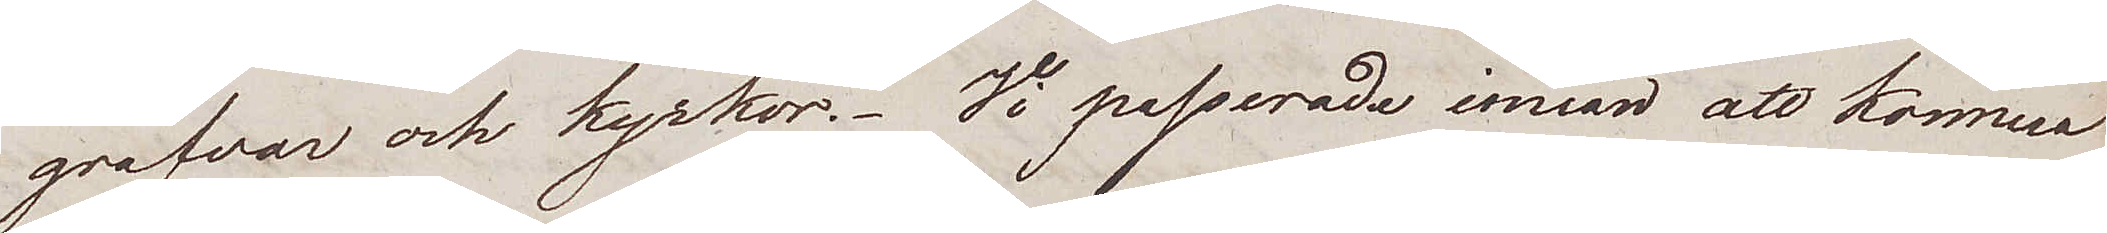grafvar och kyrkor. Vi passerade innan att komma
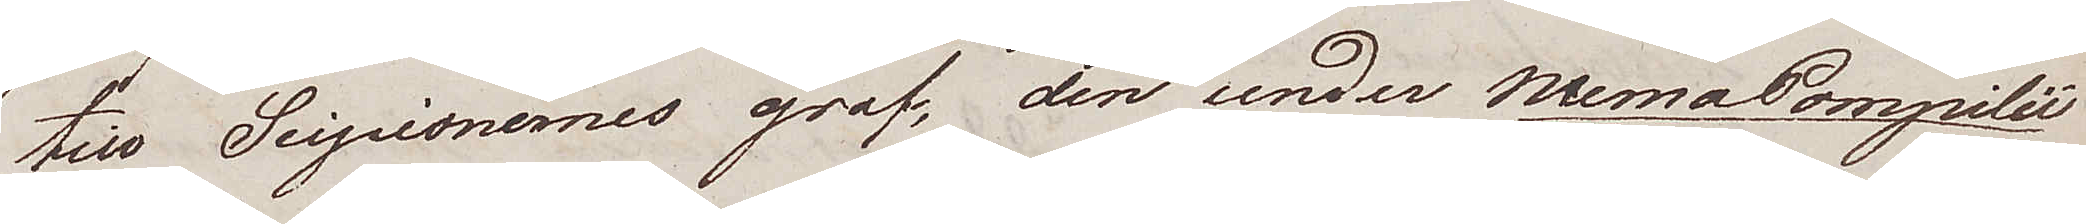till Scipionernes graf, den under Numa Pompilié
